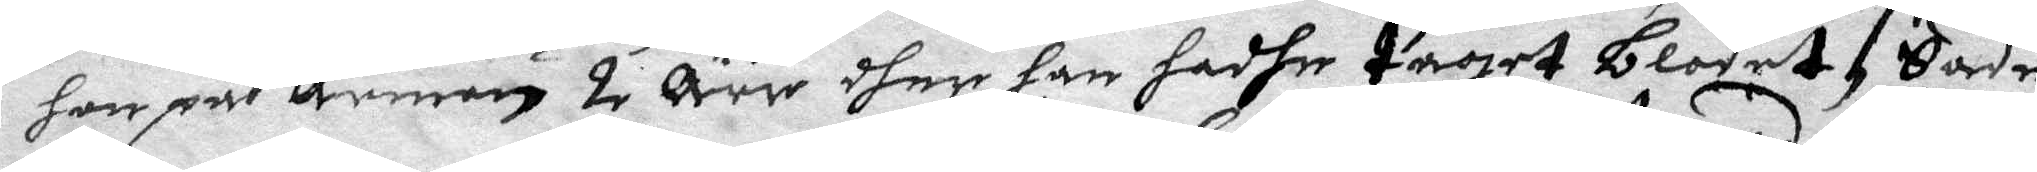hon på armen 2 Ärr dher han hadhe taget blodet, Sedan
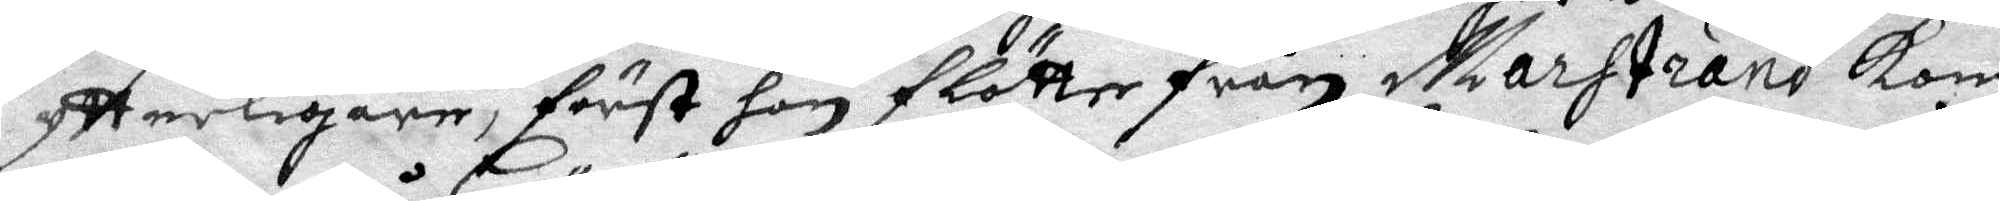ytterligare, först hon flötte från Marstrand kom
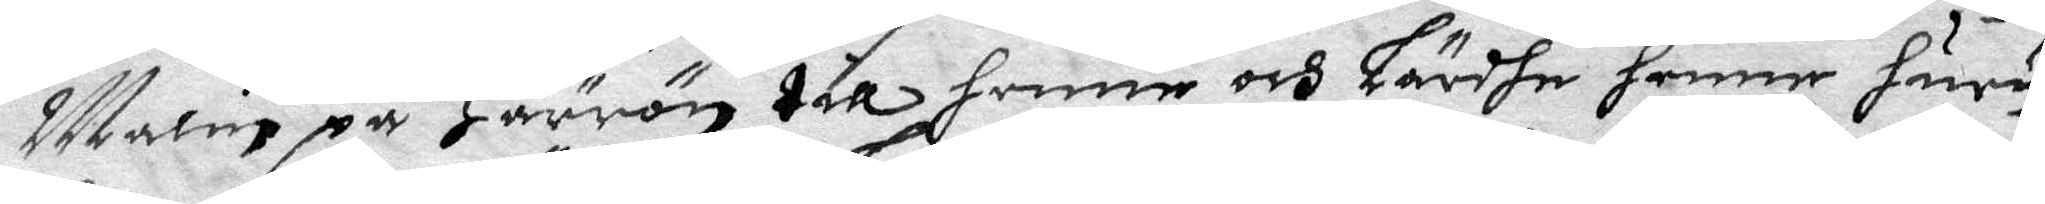Malin på Härrön till henne och Lärdhe henne huru
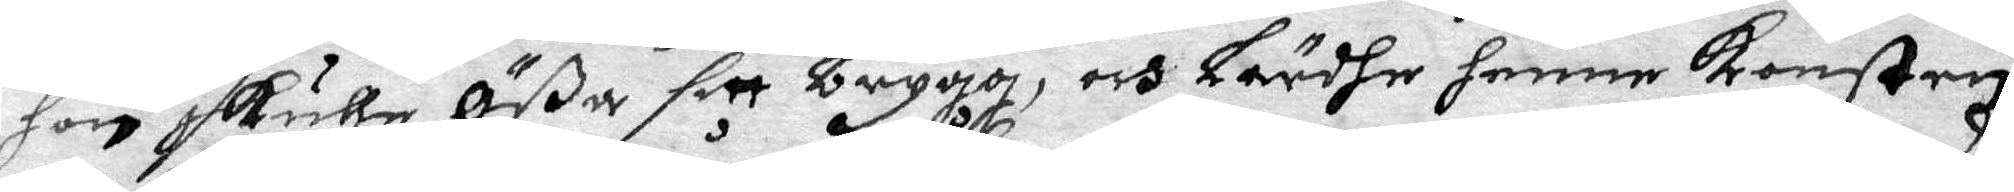hon skulle Ößa sitt brygg, och Lärdhe henne konsten
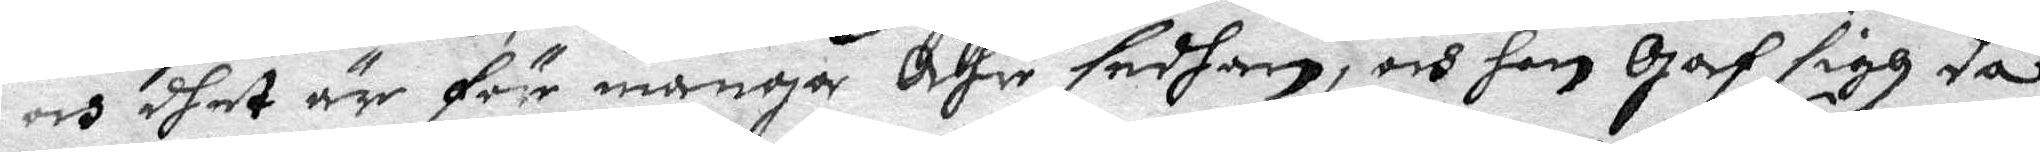och dhet är för många åhr sedhan, och hon Gaf sigh då
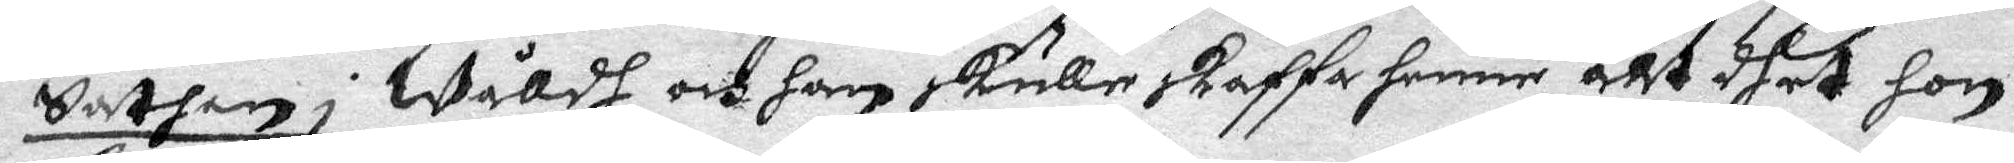Sathan i Wåldh och han skulle skaffa henne alt dhet hon
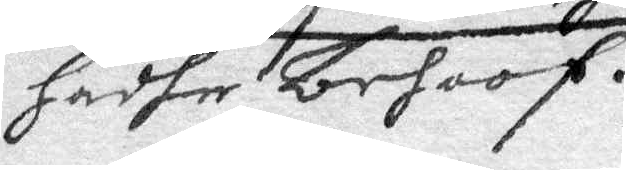hadhe behoff.
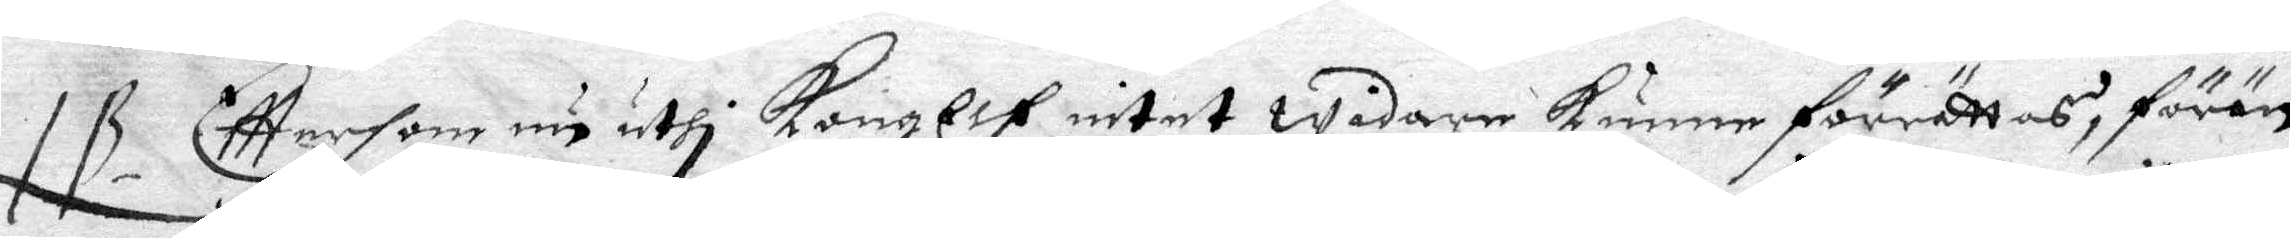NB Efttersom nu uthi KongElf intet widare kunne förrättas, förän
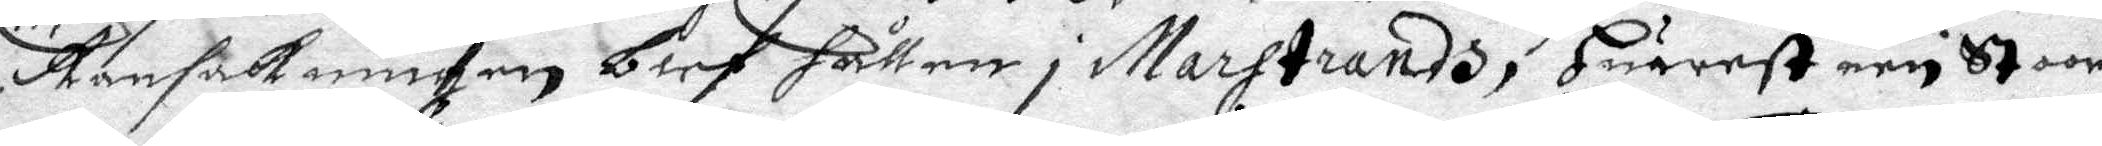Ransakningen blef hållen i marstrandh, huarest een stoor
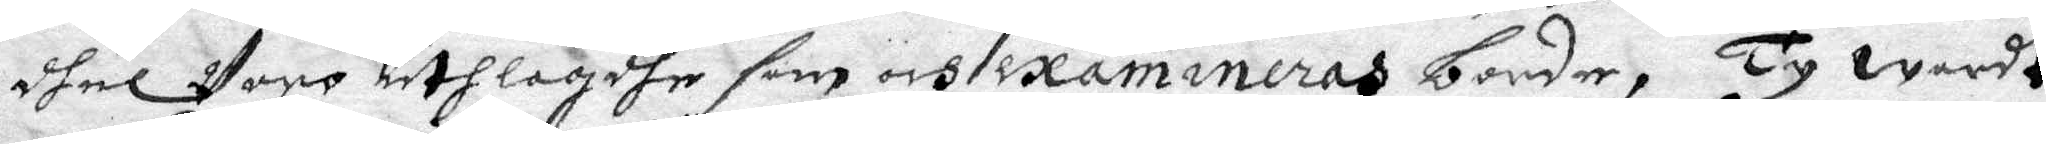dhel Voro uthlagdhe som och examineras borde, Ty wardt
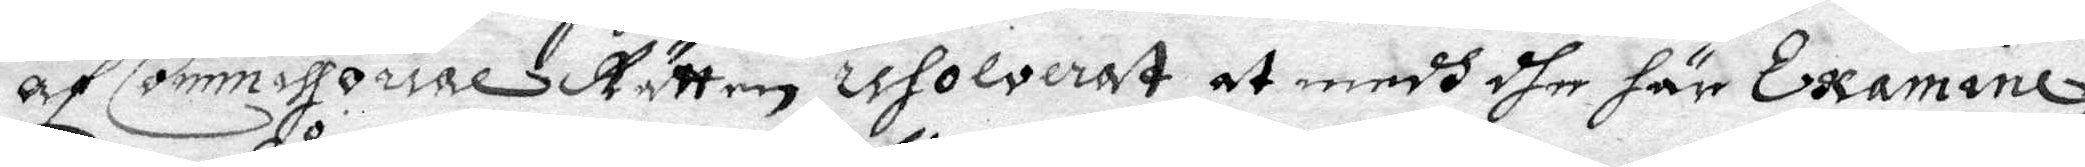af Commissorial Rätten resolverat at medh dhe här Examine¬
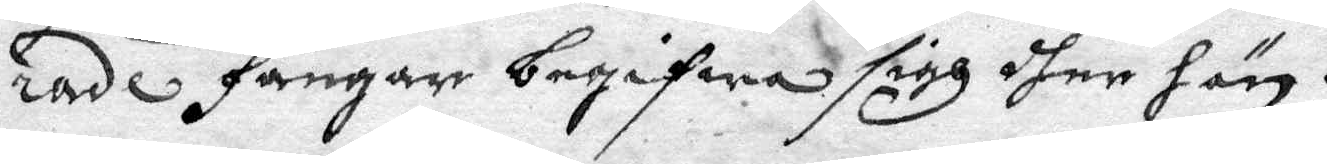rade fångar begifwa sigh dher hän.
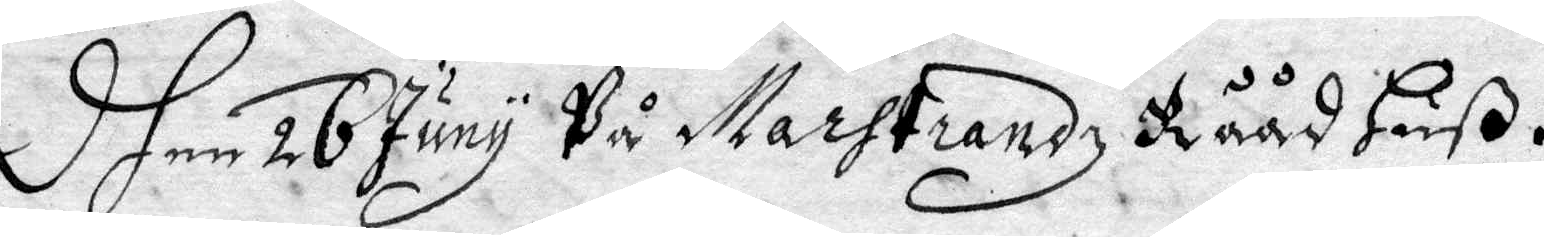Dhen 26 Juny På marstrandz Råådhuß.
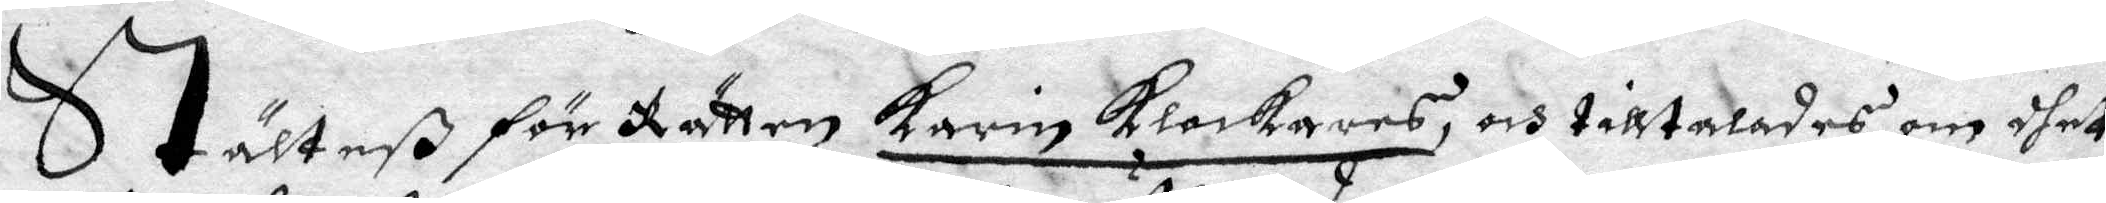Ställteß för Rätten Karin Klockares, och tilltalades om dhet
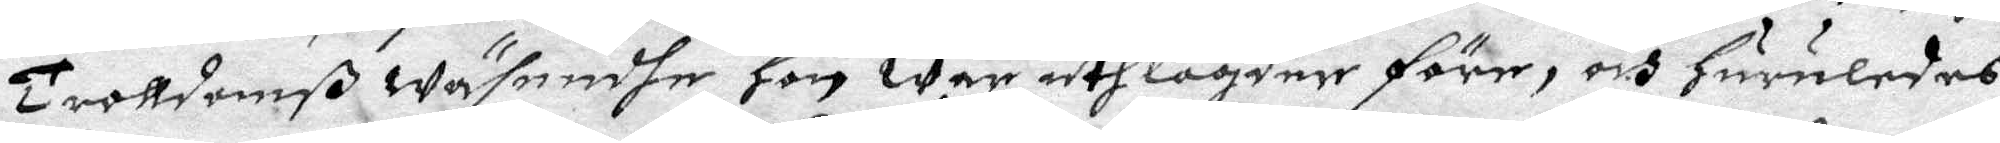Trolldomß wäsendhe hon war uthlagder före, och huruledes
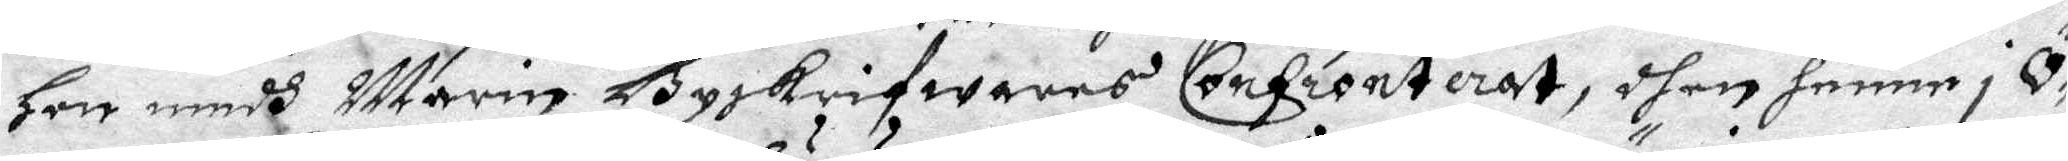Her medh Marin Byskrifwares Confronterat, dhen henne i Ö¬
